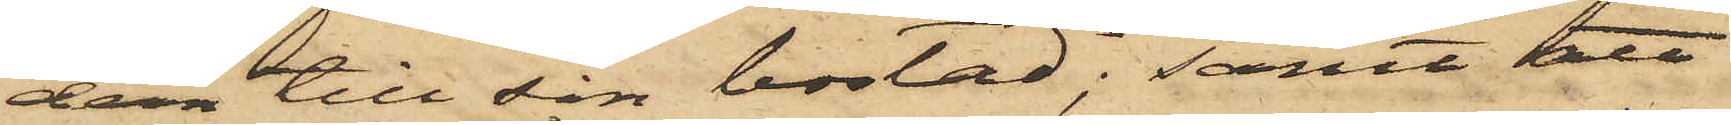dem till sin bostad; samt att
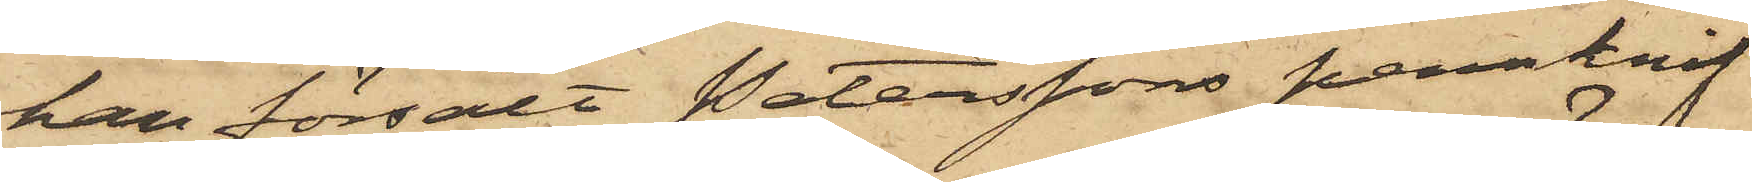han försålt Peterssons pennknif
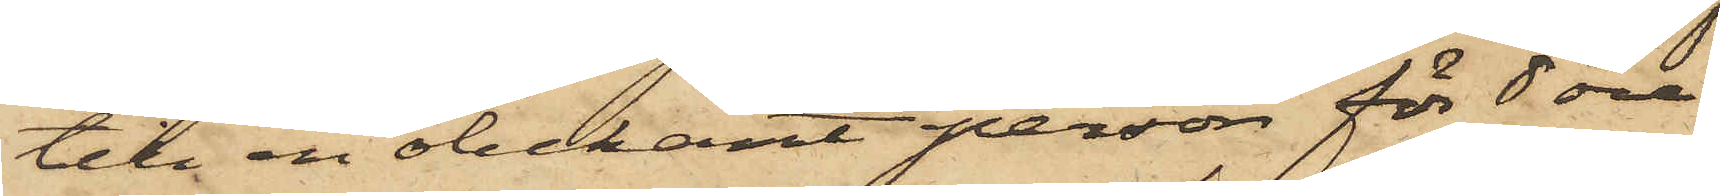till en obekant person för 8 öre.
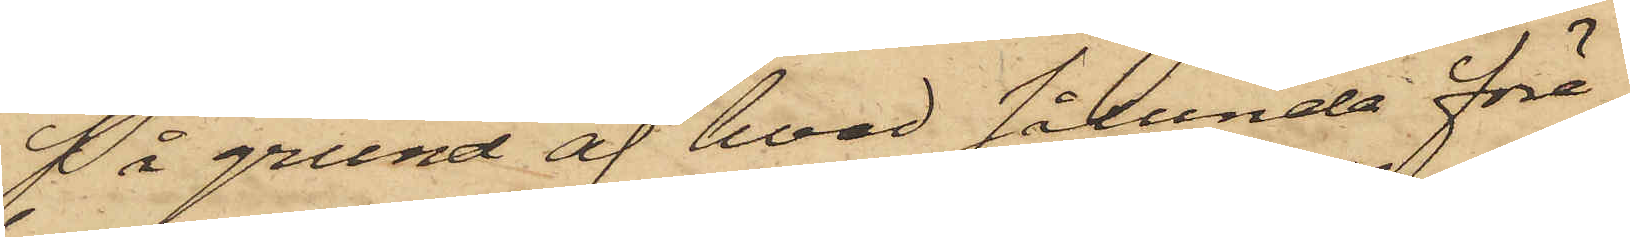På grund af hvad sålunda före¬
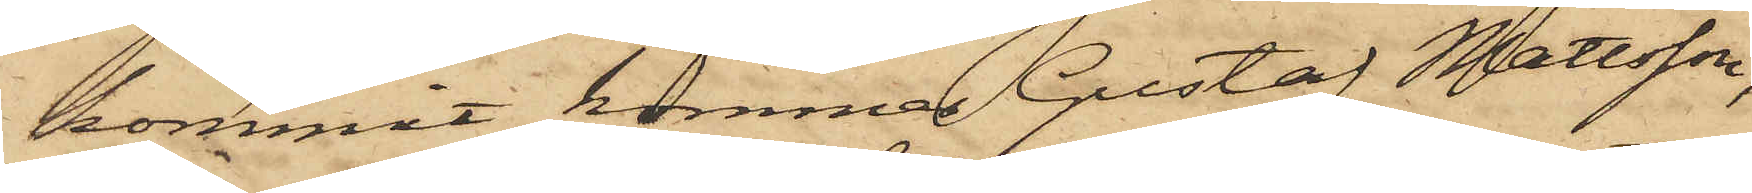kommit, kommer Gustaf Mattsson,
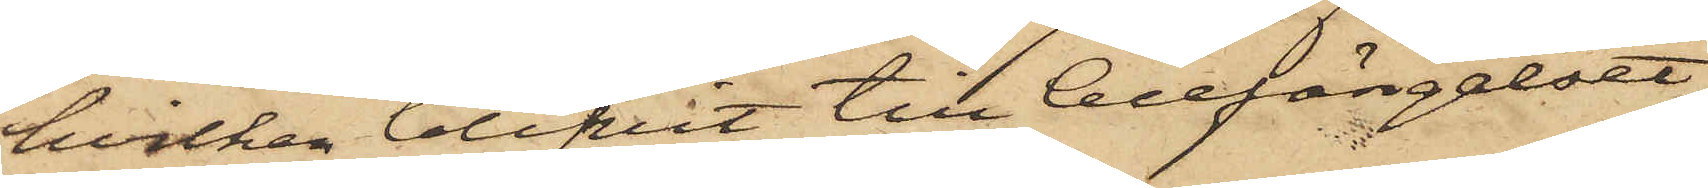hvilken blifvit till Cellfängelset
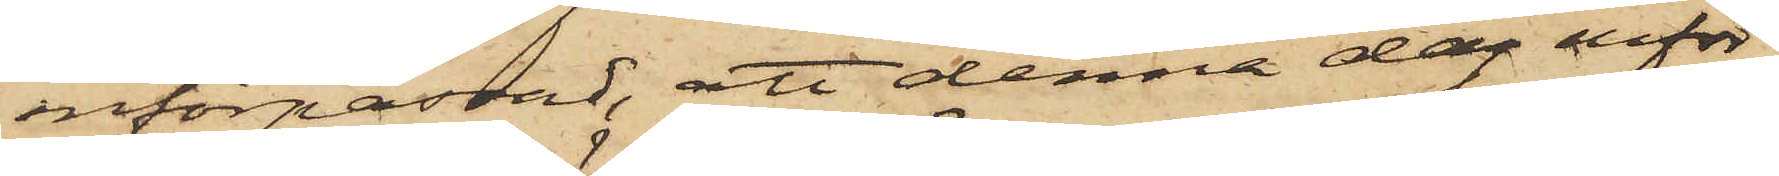införpassad, att denna dag inför
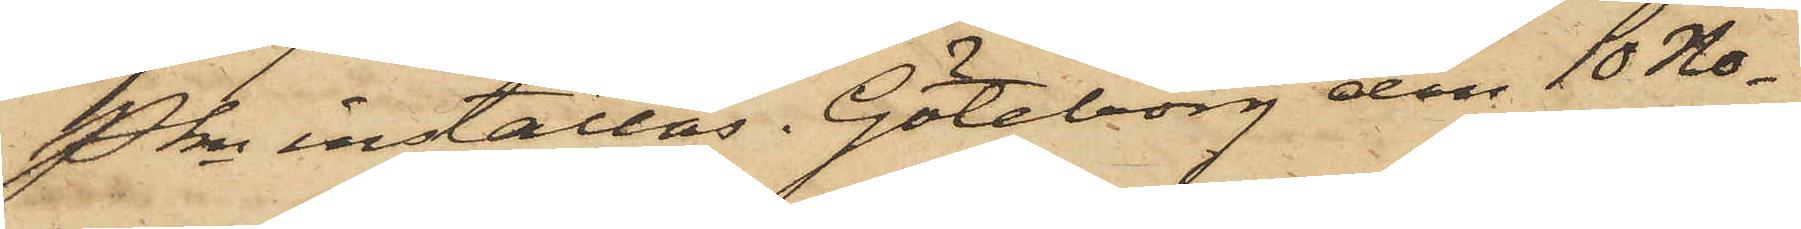Pkn inställas. Göteborg den 10 No¬
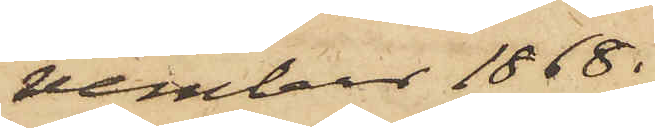vember 1868.
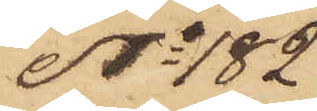No 182
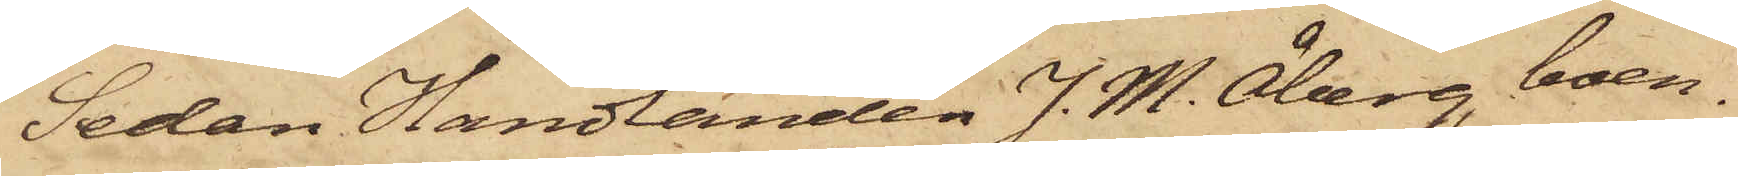Sedan Handlanden J. M. Åberg, boen¬
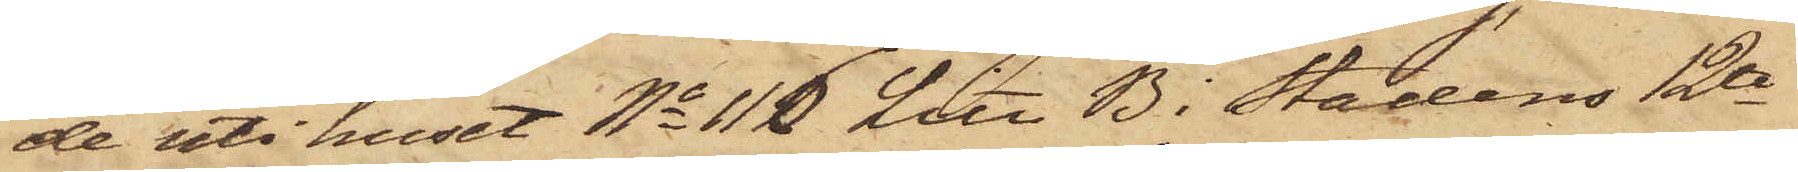de uti huset No 116 Litt B i Stadens 12te
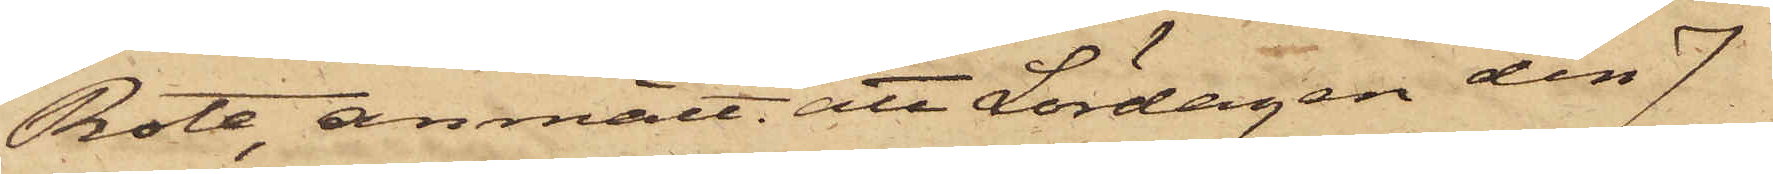Rote, anmält, att Lördagen den 7
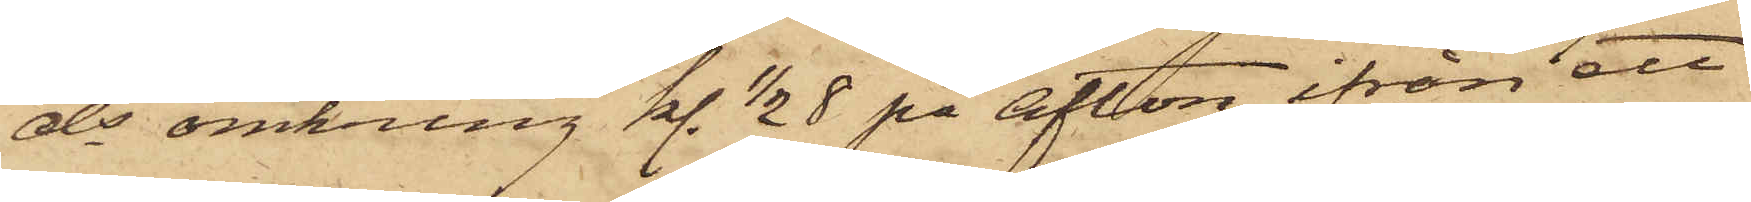ds omkring kl. 1/2 8 på afton ifrån ett
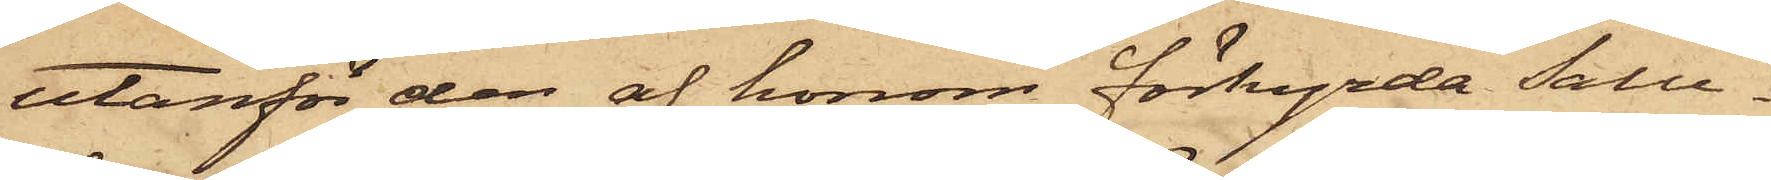utanför den af honom förhyrda Salu¬
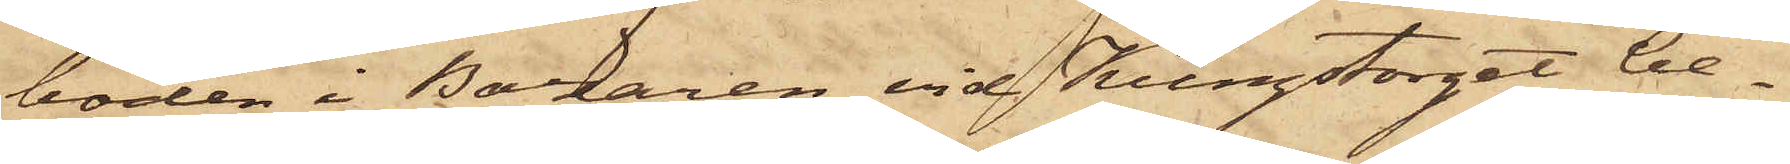boden i Bazaren vid Kungstorget be¬
